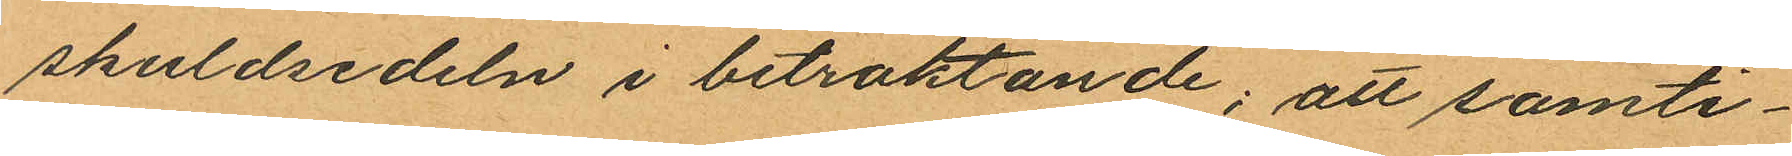skuldsedeln i bitraktande; att samti¬
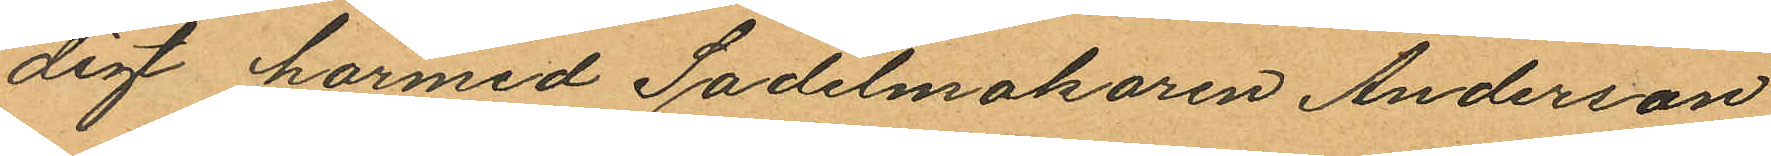digt härmed Sadelmakaren Anderson
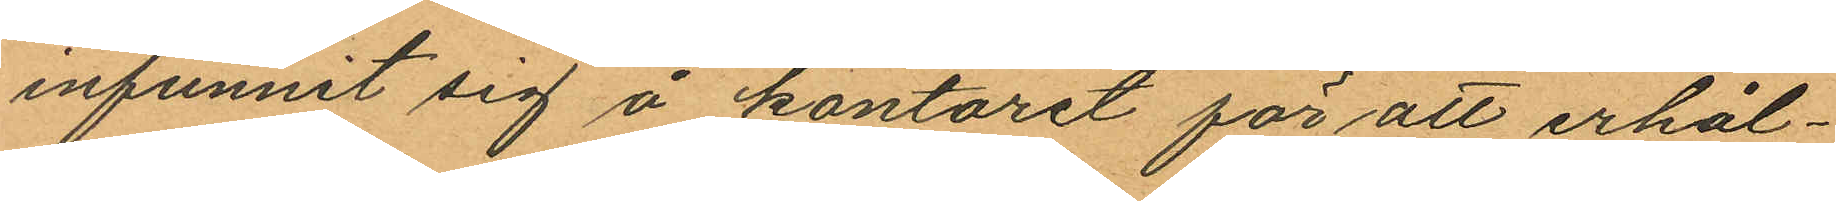infunnit sig å kontoret för att erhål¬
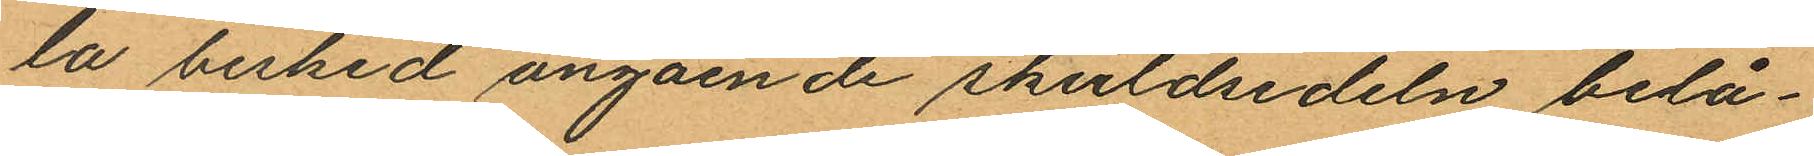la besked angående skuldsedeln belå¬
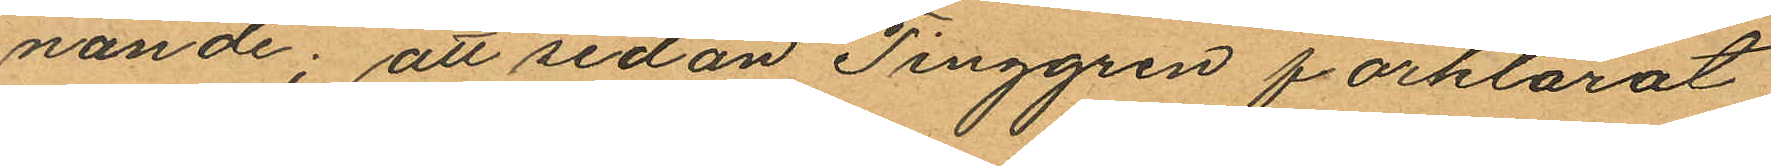nande; att sedan Tinggren förklarat
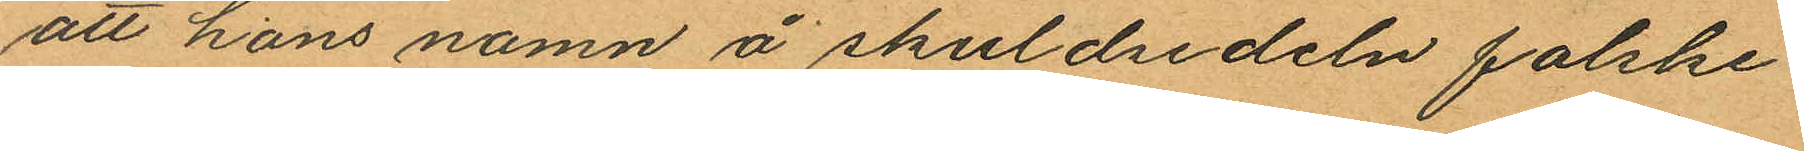att hans namn å skuldsedeln falske¬
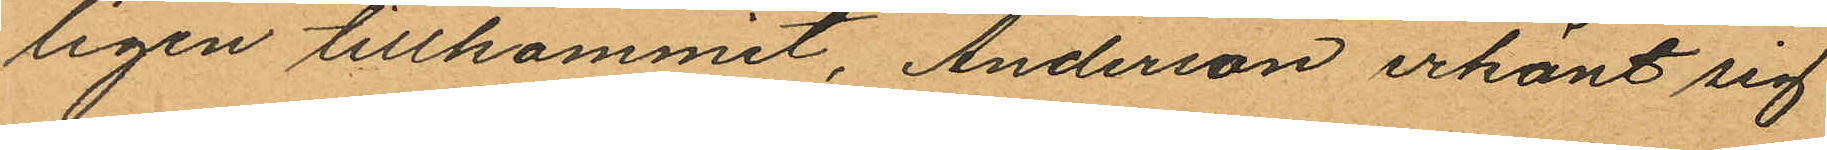ligen tillkommit, Anderson erkänt sig
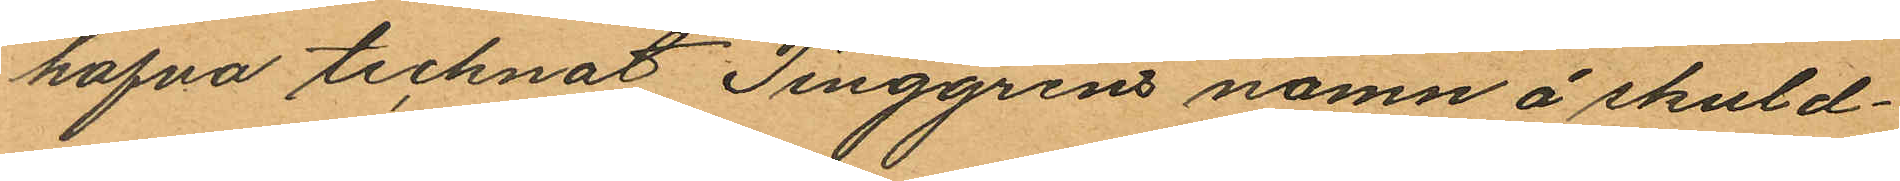hafva tecknat Tinggrens namn å skuld¬
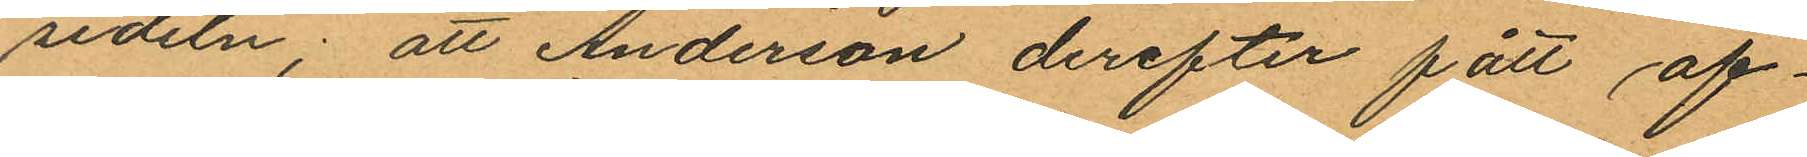sedeln; att Anderson derefter fått af¬
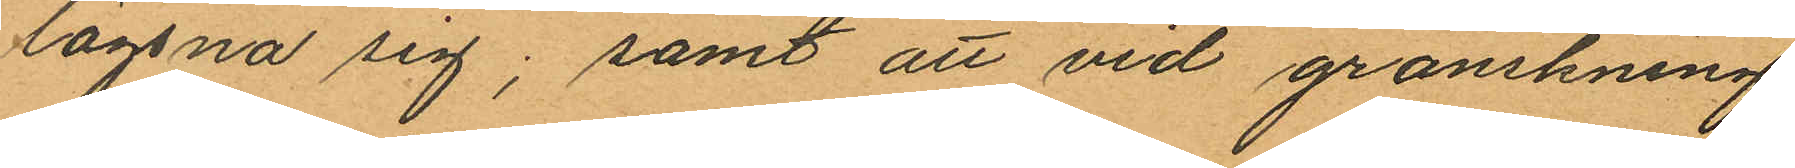lägsna sig; samt att vid granskning
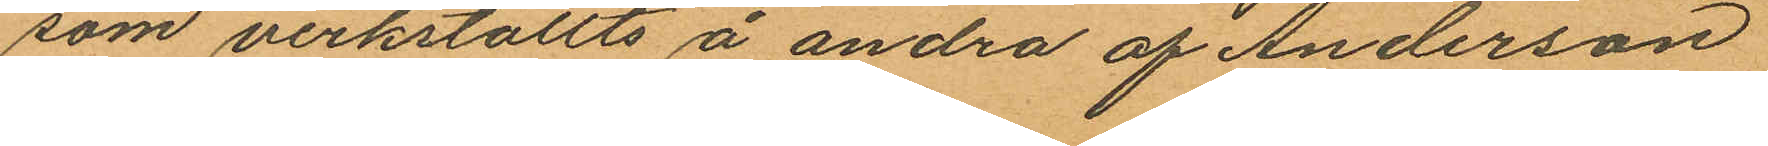som verkställts å andra af Anderson
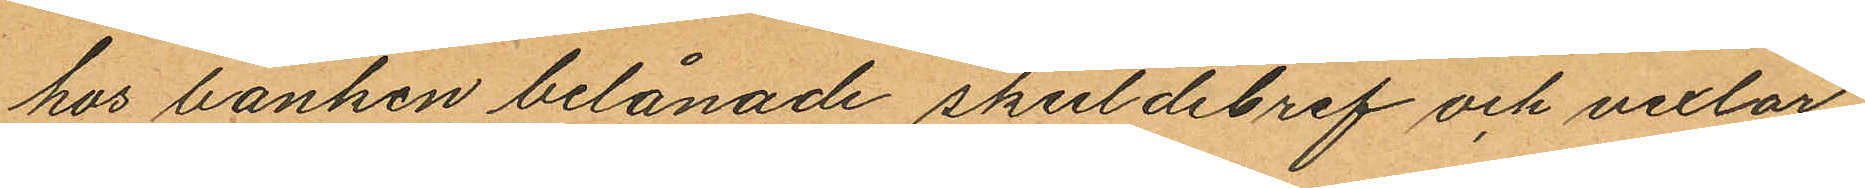hos banken belånade skuldebref och vexlar
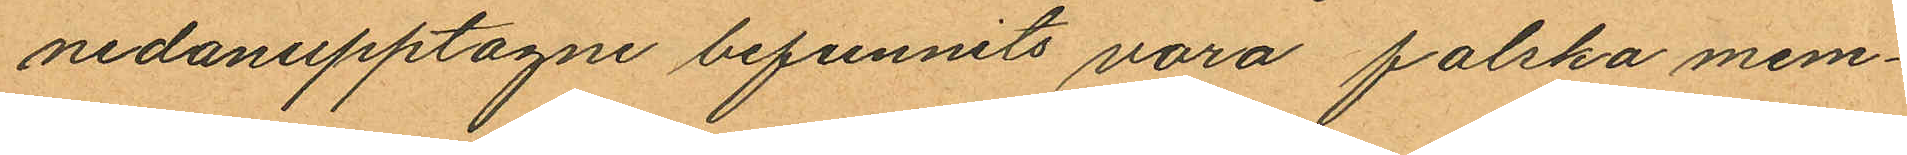nedanupptagne befunnits vora falska mem¬
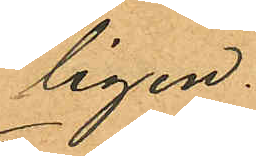ligen.
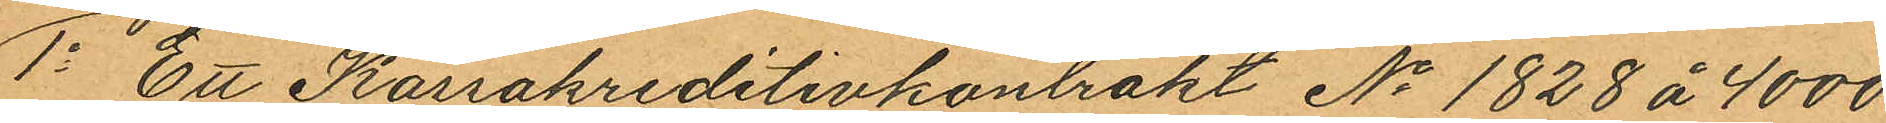1o Ett Kassakreditivkontrakt No 1828 å 4000
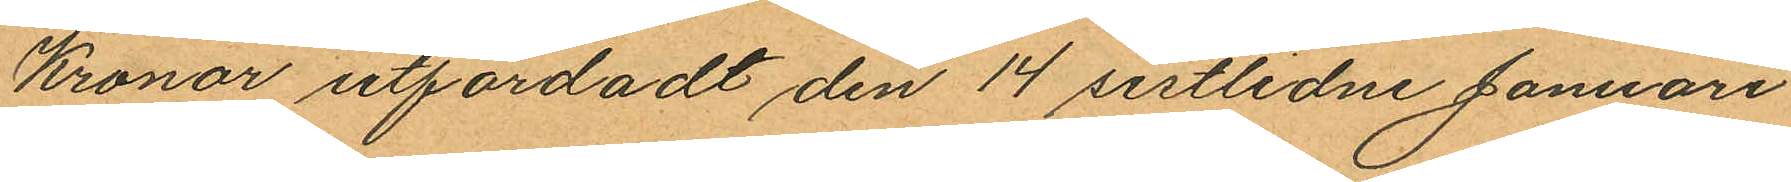Kronor utfärdadt den 14 sistlidne Januari
